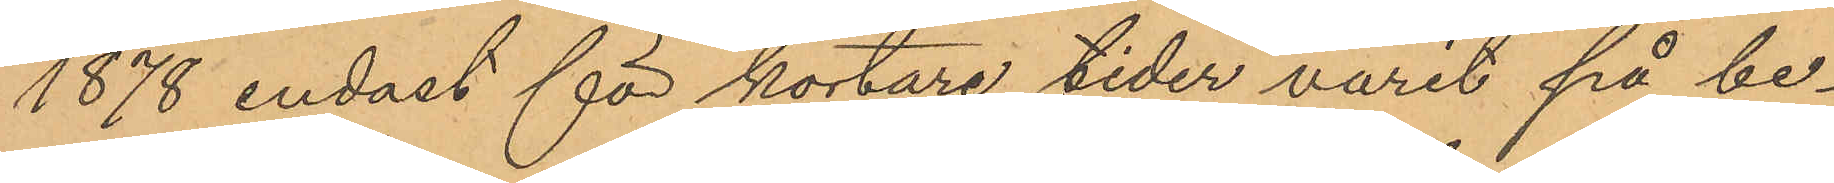1878 endast för kortare tider varit på be¬
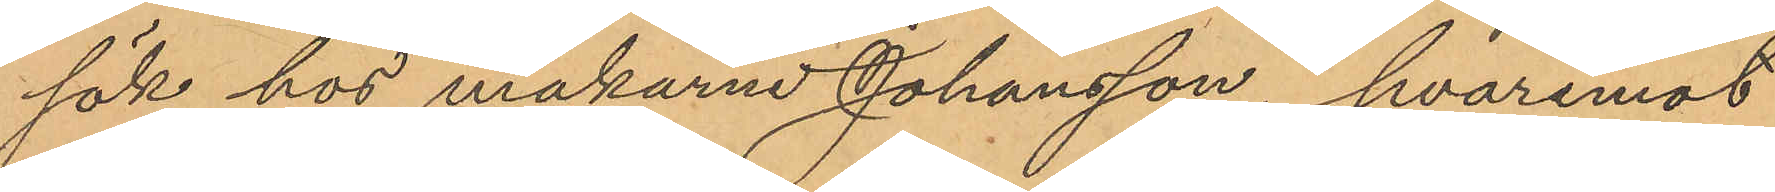sök hos makarna Johansson, hvaremot
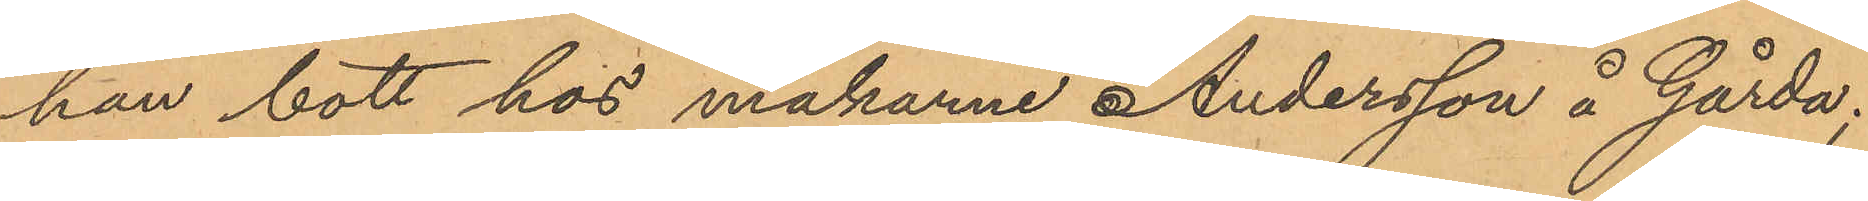han bott hos makarne Andersson å Gårda;
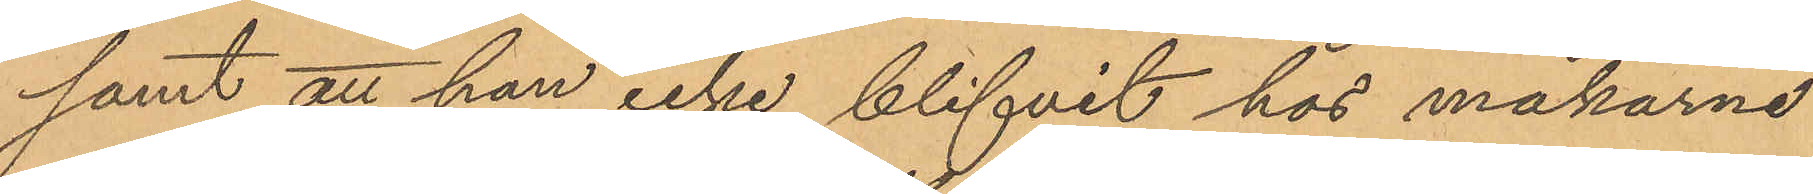samt att han icke blifvit hos makarna
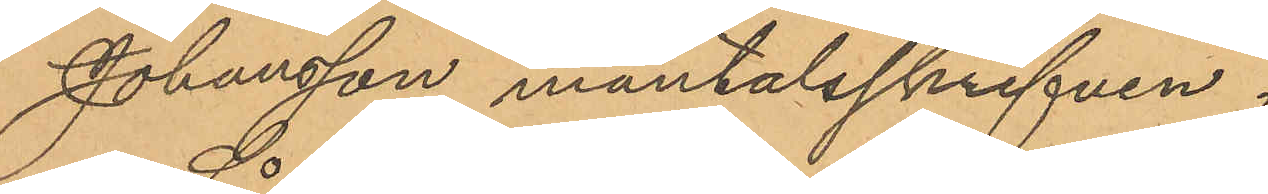Johansson mantalsskrifven.
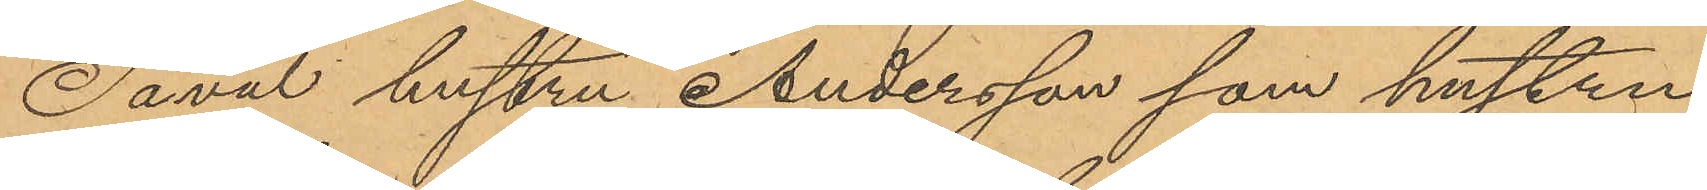Såwäl hustru Andersson som hustru
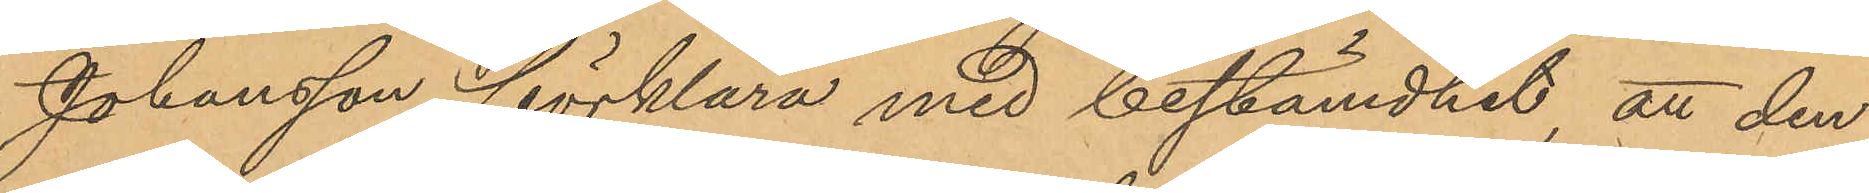Johansson förklara med bestämdhet att den
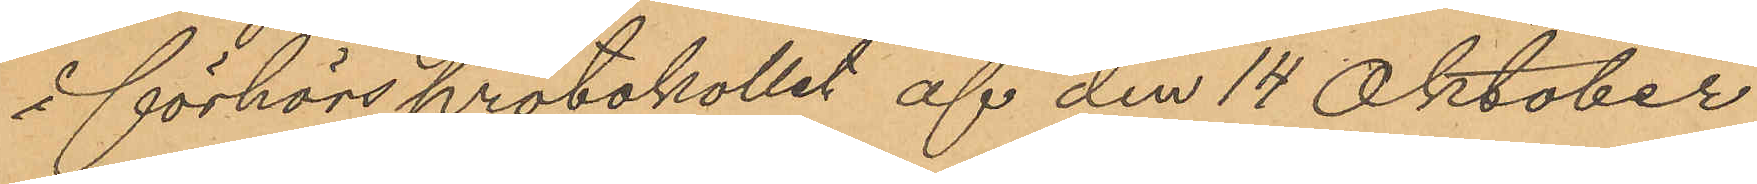å förhörsprotokollet af den 14 Oktober
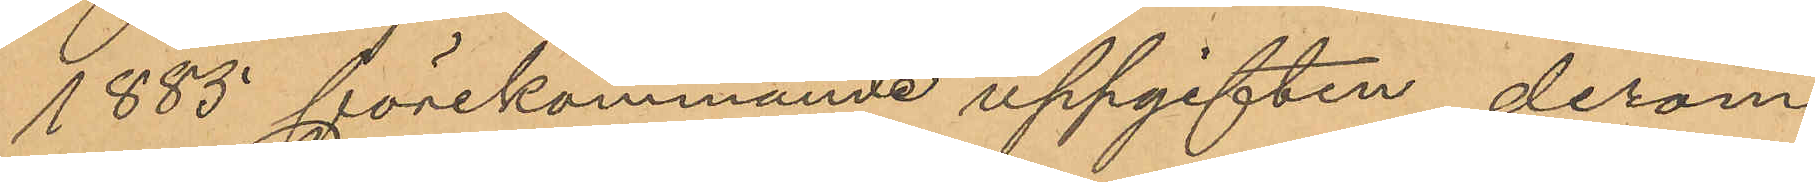1885 förekommande uppgiften derom
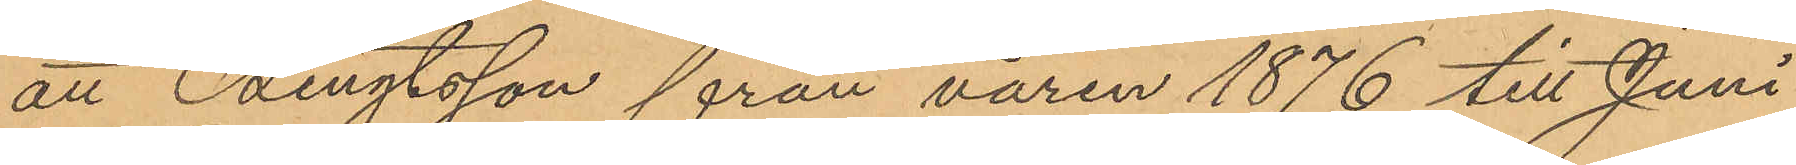att Bengtsson från våren 1876 till Juni
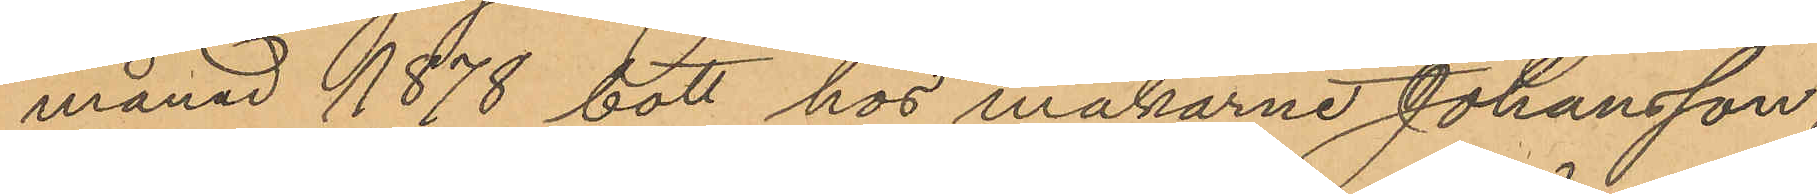månad 1878 bott hos makarne Johansson
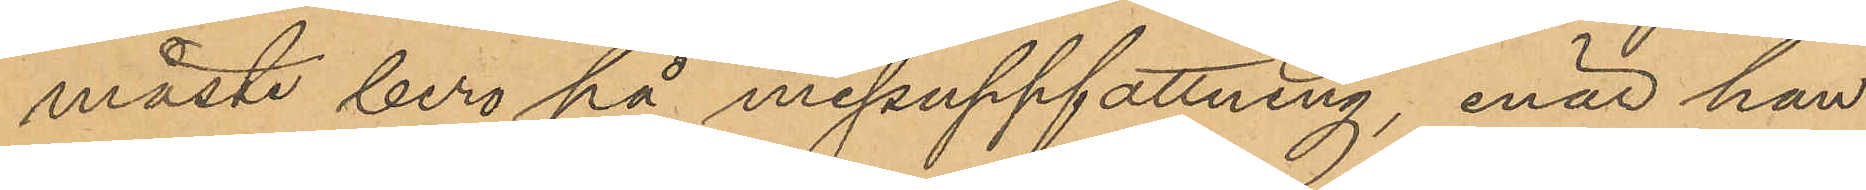måste bero på missuppfattning, enär han
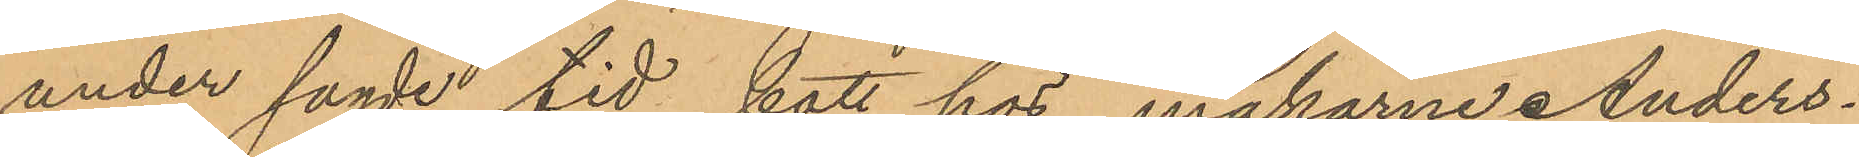under sagde tid bott hos makarne Anders¬
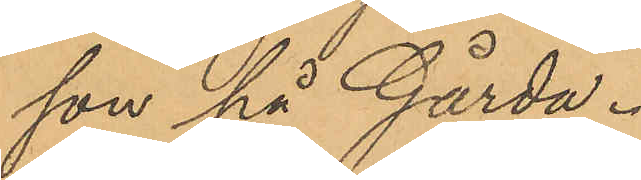son på Gårda.
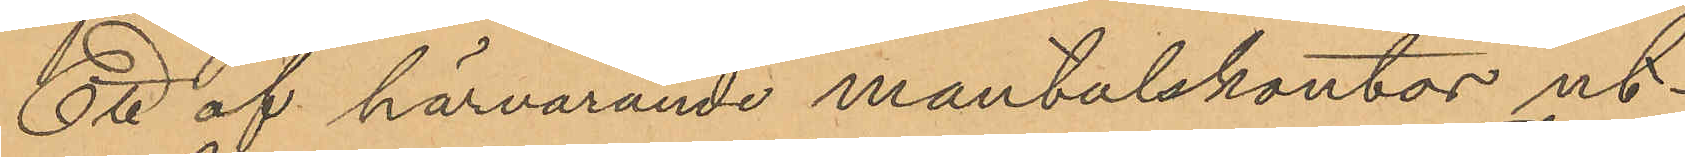Ett af härvarande mantalskontor ut¬
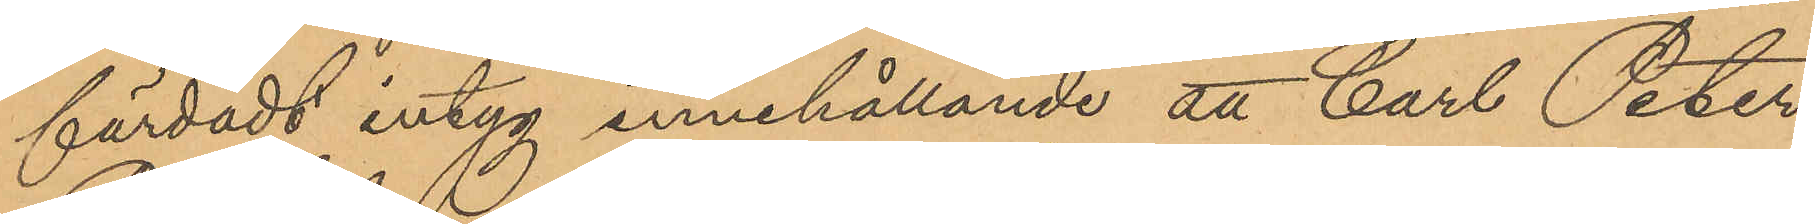färdadt intyg innehållande att Carl Peter
